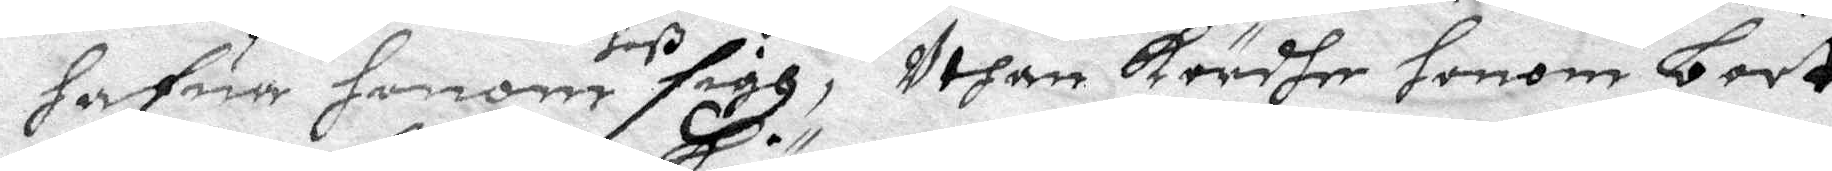hafua honom hoß sigh, Uthan kördhe honom bort
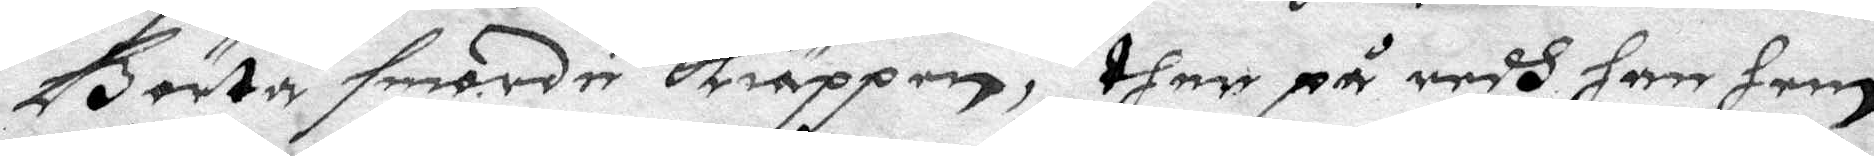Börta smorde kiäppen, ther på redh han hem
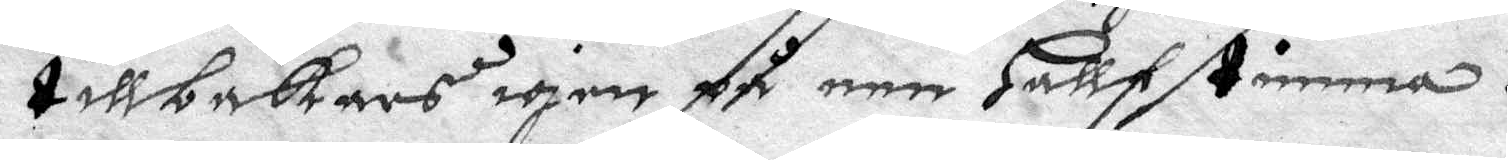tillbakars igen på een hallf timma.
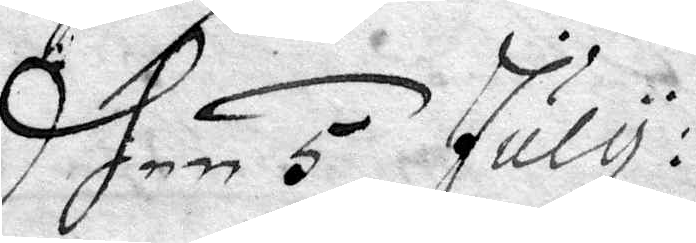dhen 5 july:
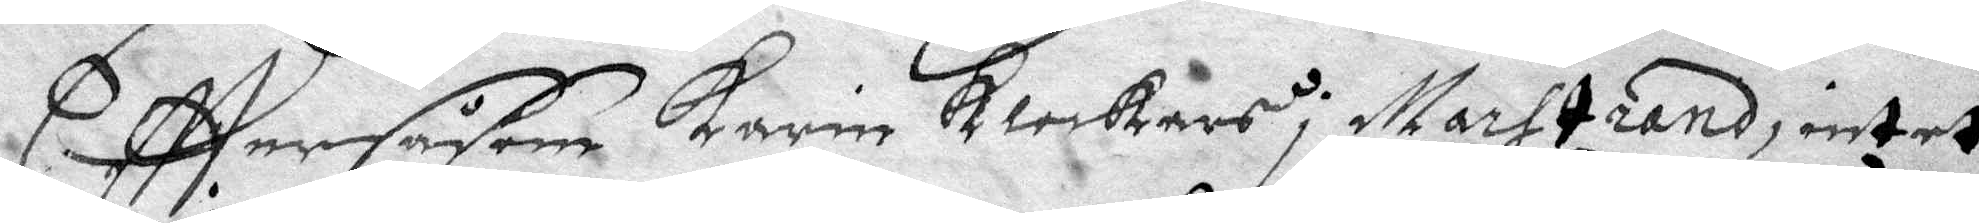Efttersåsom Karin klockars i Marstrand, intet
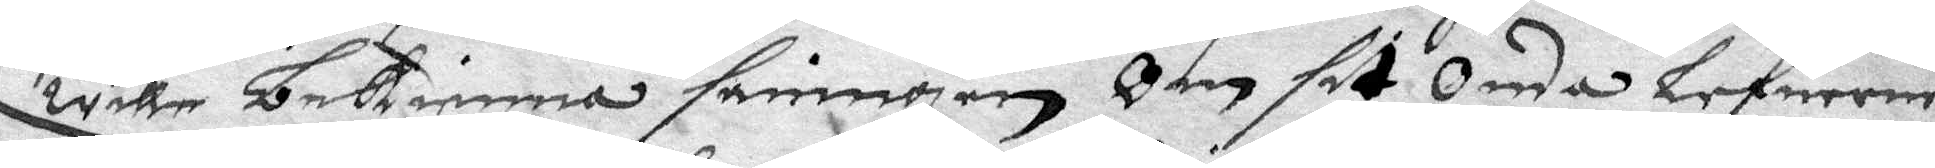wolle bekienna sanningen Om sit Onda lefuerne
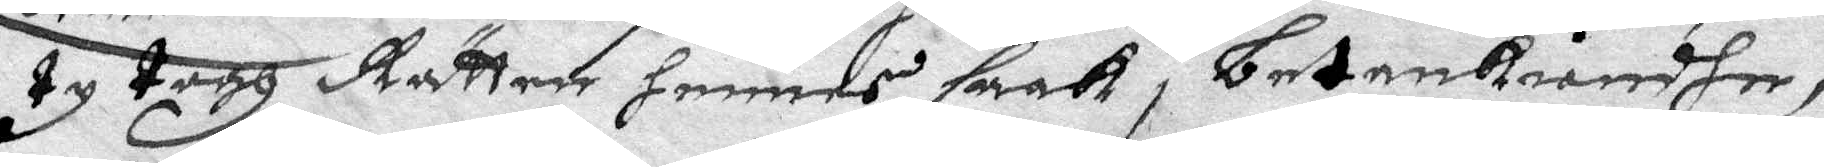ty togh Rätten hennes saak i betenkiendhe,
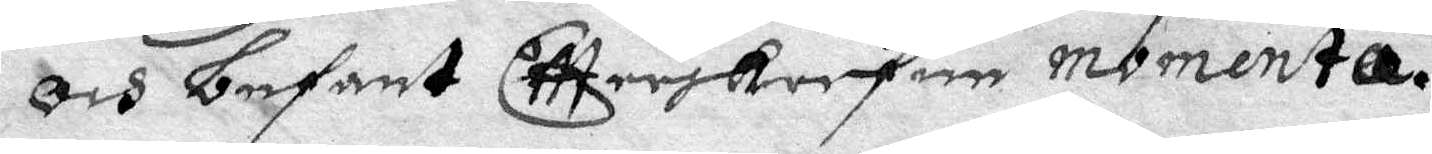Och befant Eftterskrefen momenta.
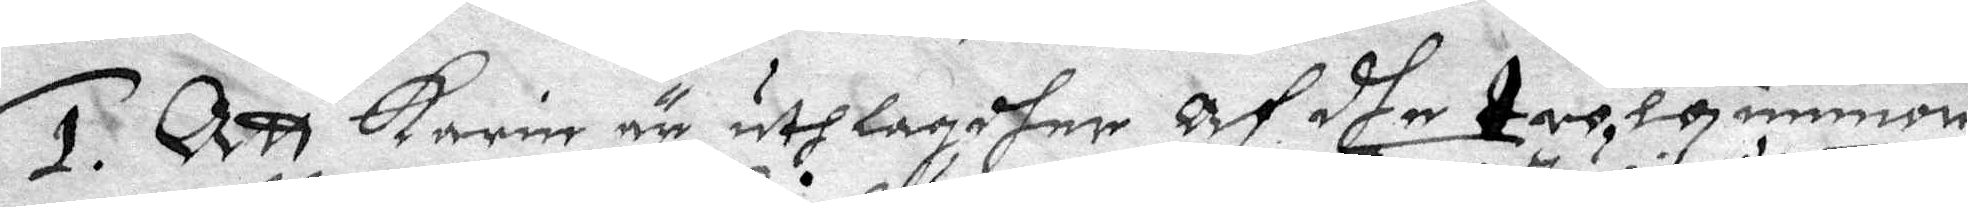1. Att Karin är uthlagdher Af dhe trolquinnor
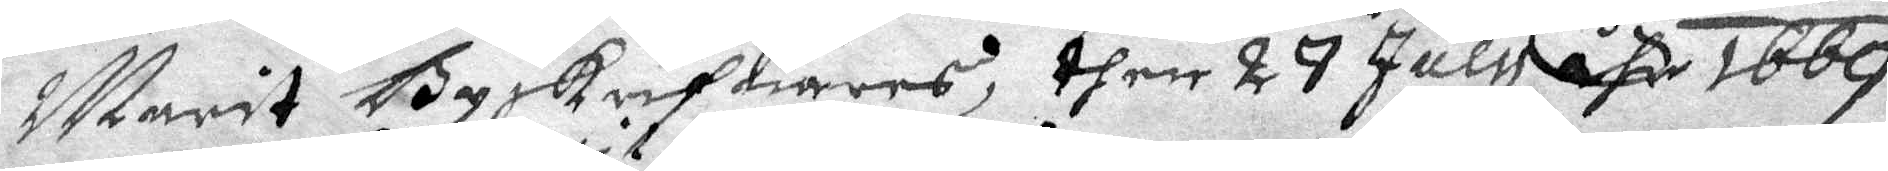Marit Byskrifuares, then 27 july åhr 1669.
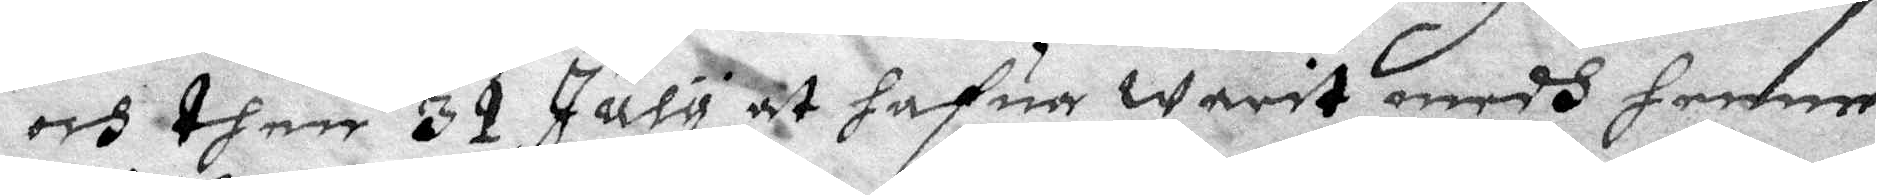och then 31 July at hafua warit medh henne
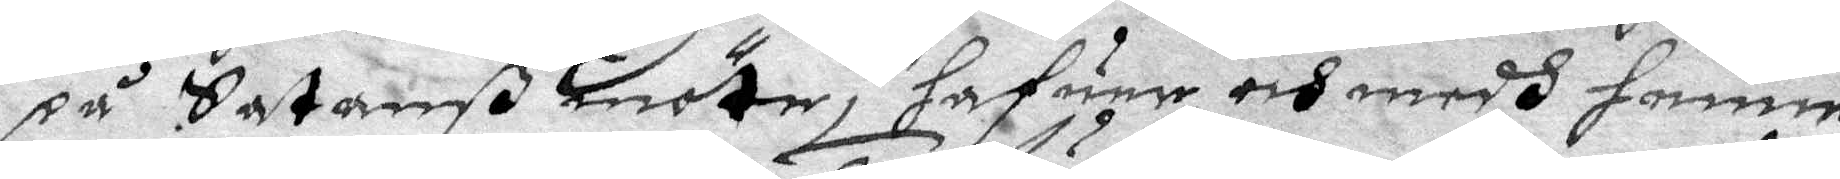på Satanß möthe, hafuer och medh henne
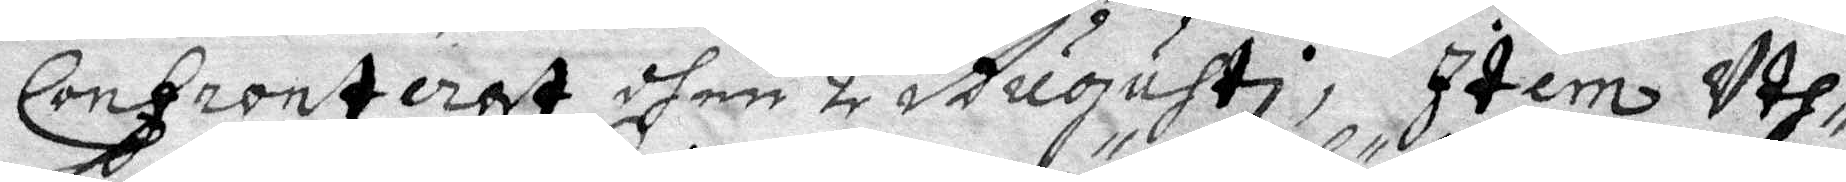Confronterat dhen 2 Augusti, Item Uth¬
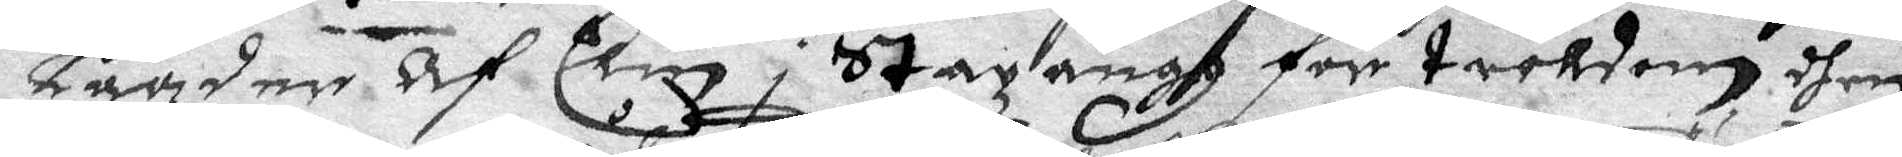Lagder Af Elin i Stazängh för trolldom dhem
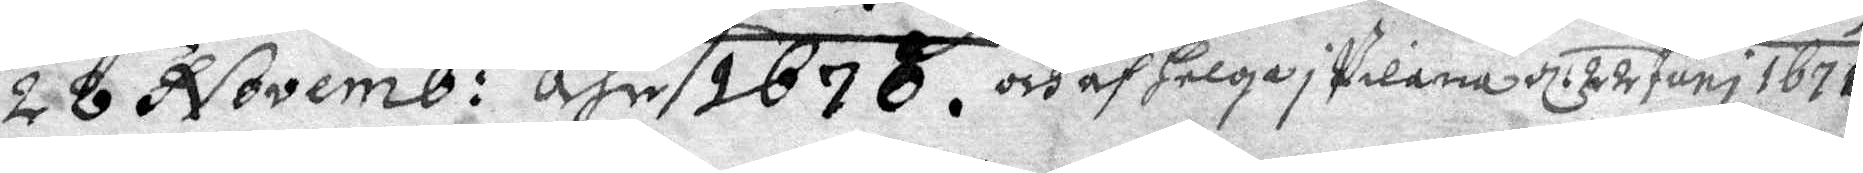28 Novemb: åhr 1670. och ag Helga i Pilana d: 22 Juni 1671.
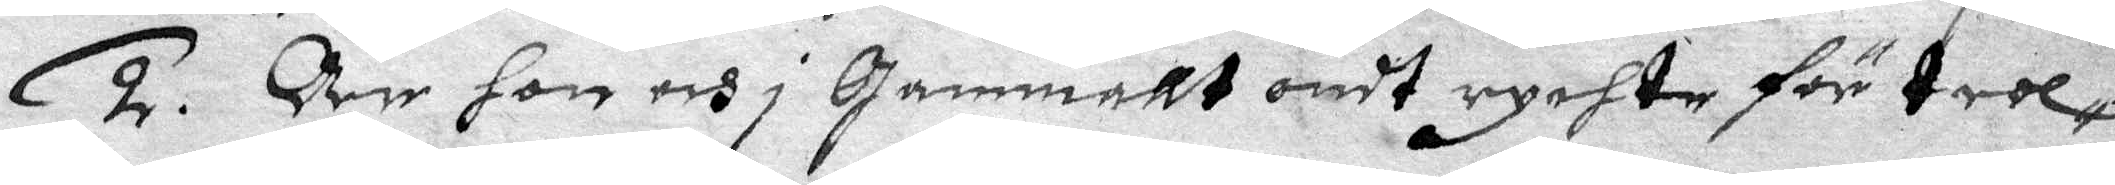2. Är hon och i gammallt ondt rychte för trol¬
